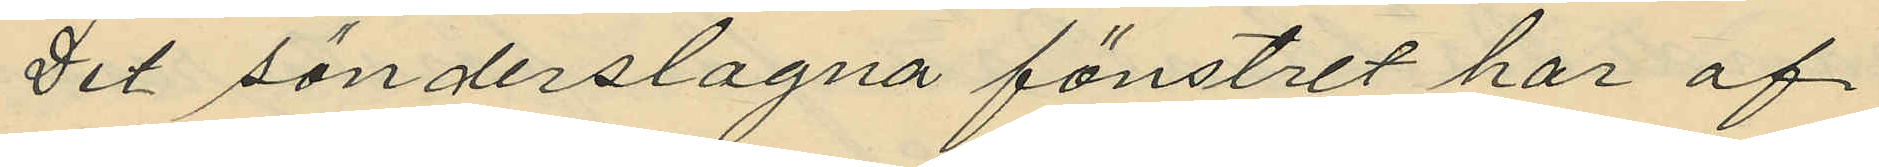Det sönderslagna fönstret har af
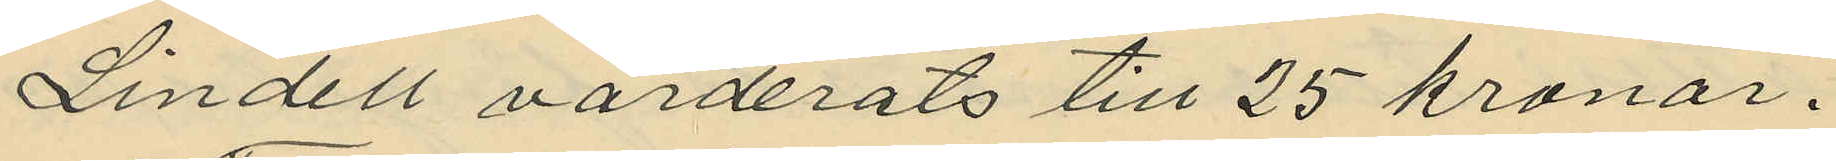Lindell värderats till 25 kronor.
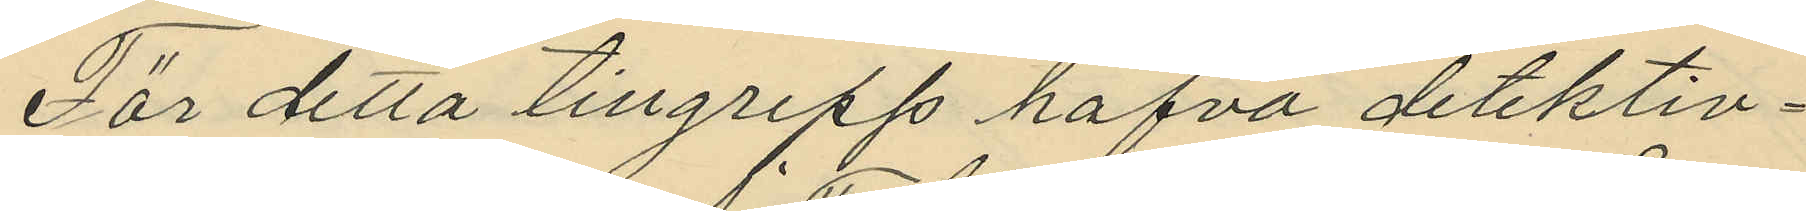För detta tillgrepp hafva detektiv¬
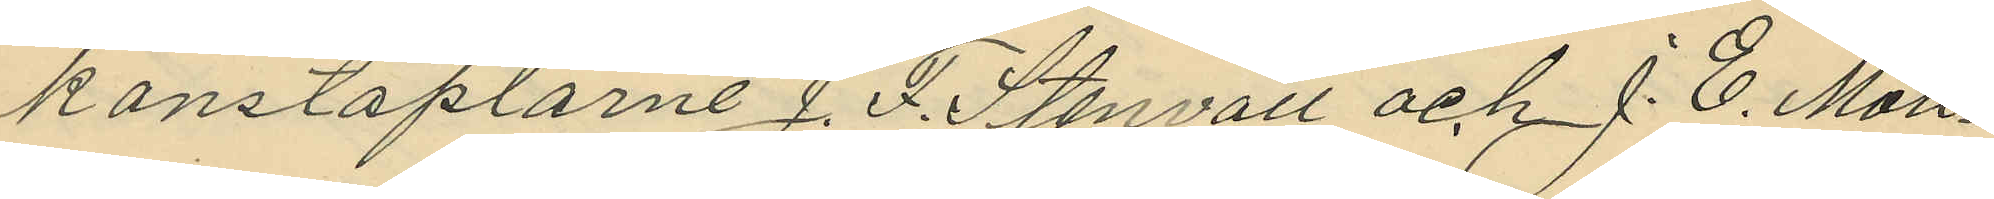konstaplarne J. F. Stenvall och J. E. Moll¬
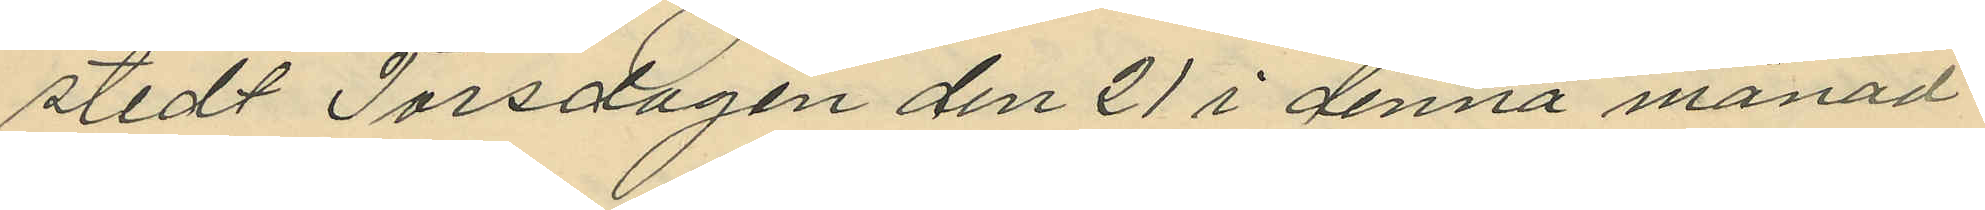stedt Torsdagen den 21 i denna månad
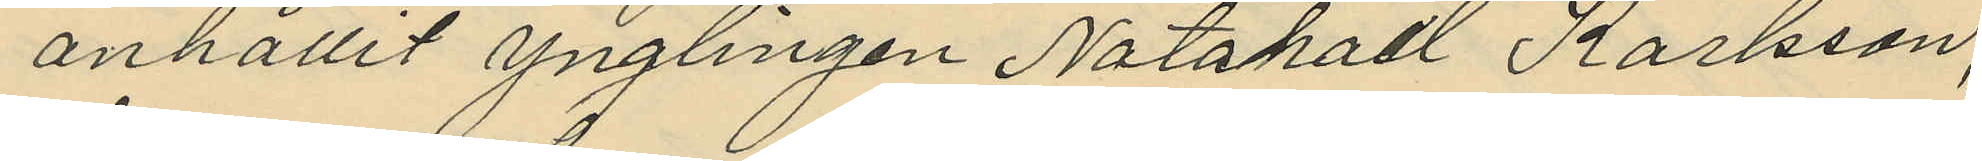anhållit ynglingen Natahael Karlsson,
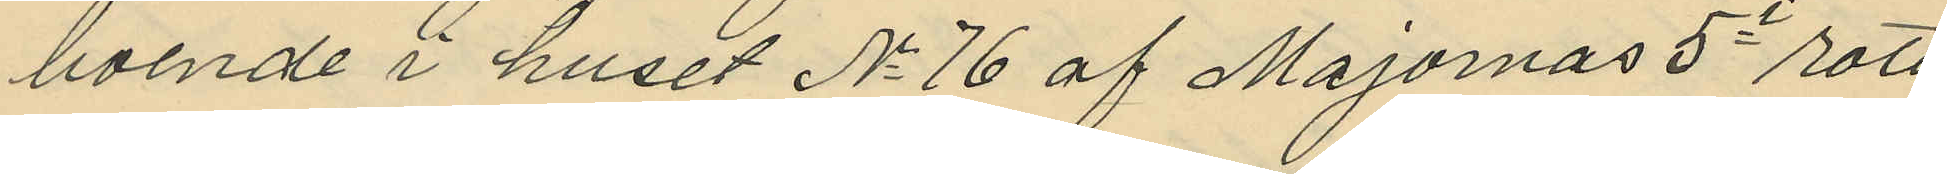boende i huset No 76 af Majornas 5e rote
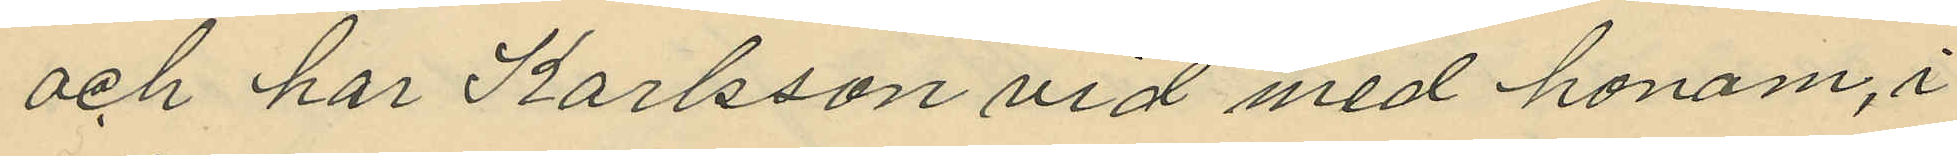och har Karlsson vid med honom, i
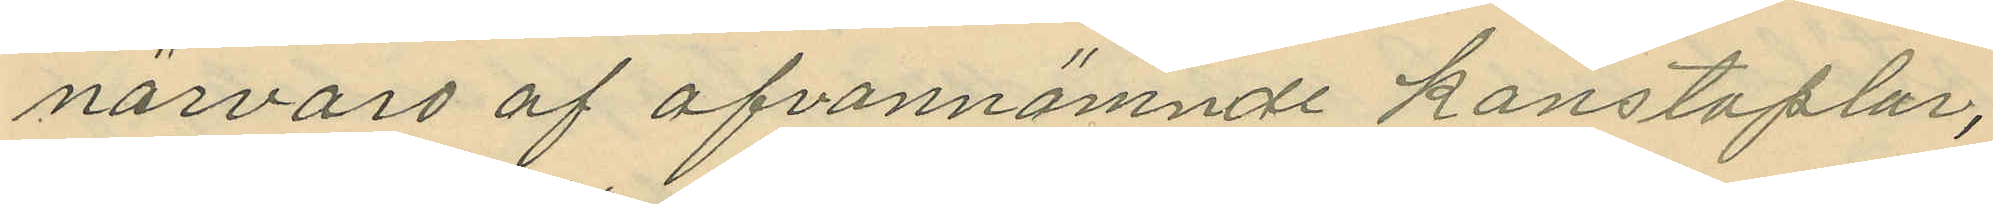närvaro af ofvannämnde konstaplar,
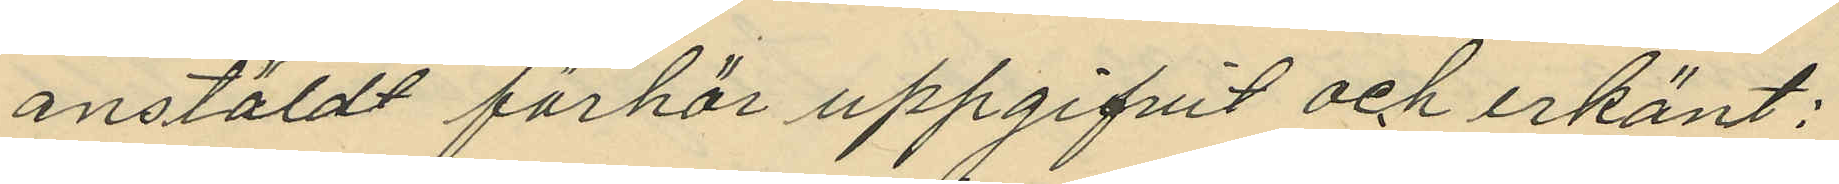anstäldt förhör uppgifvit och erkänt:
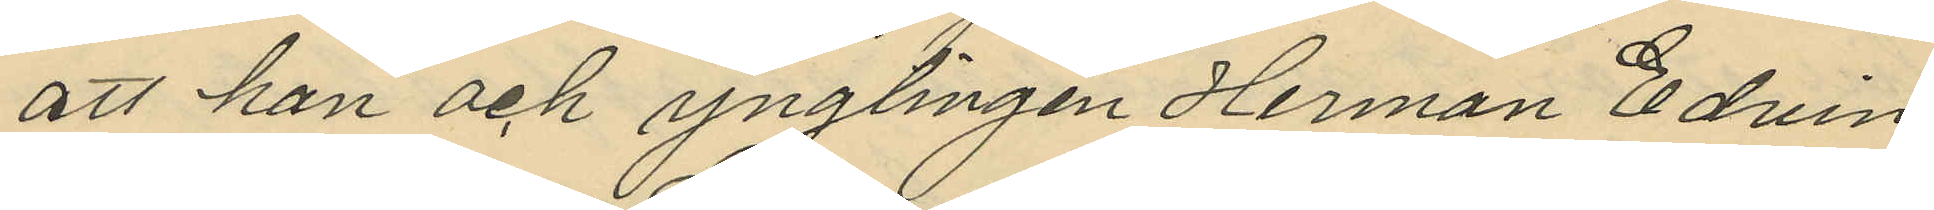att han och ynglingen Herman Edvin
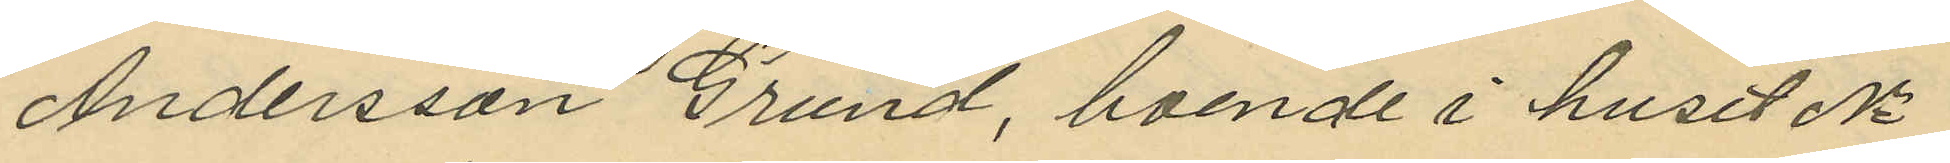Andersson Grund, boende i huset No
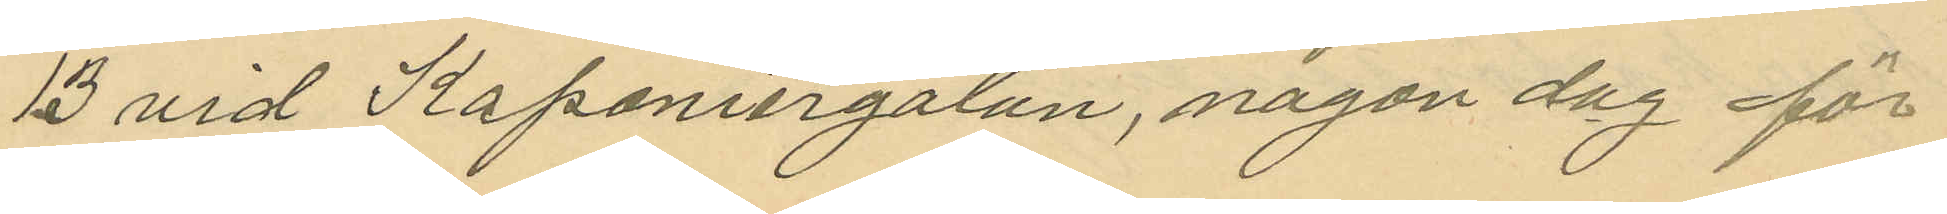13 vid Kaponiergatan, någon dag för
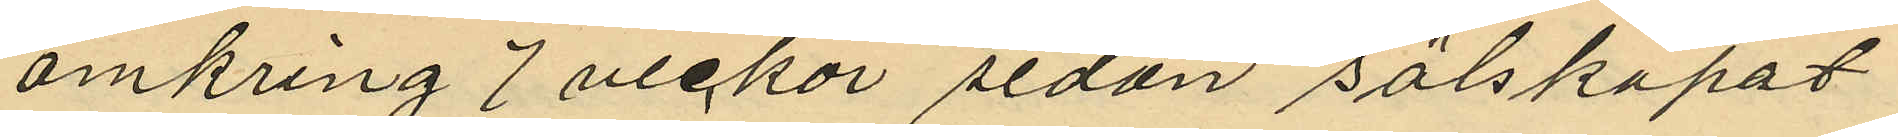omkring 7 veckor sedan sälskapat
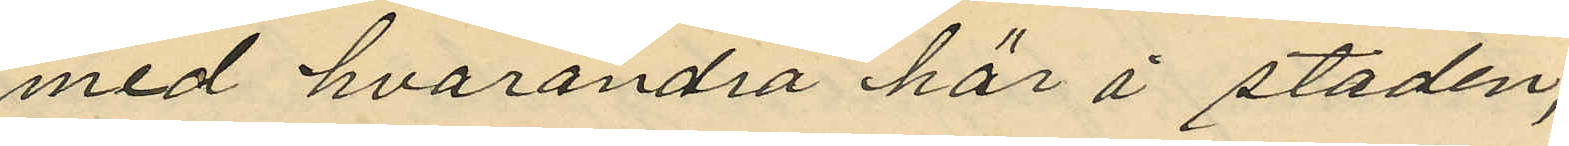med hvarandra här i staden;
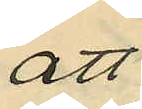att
